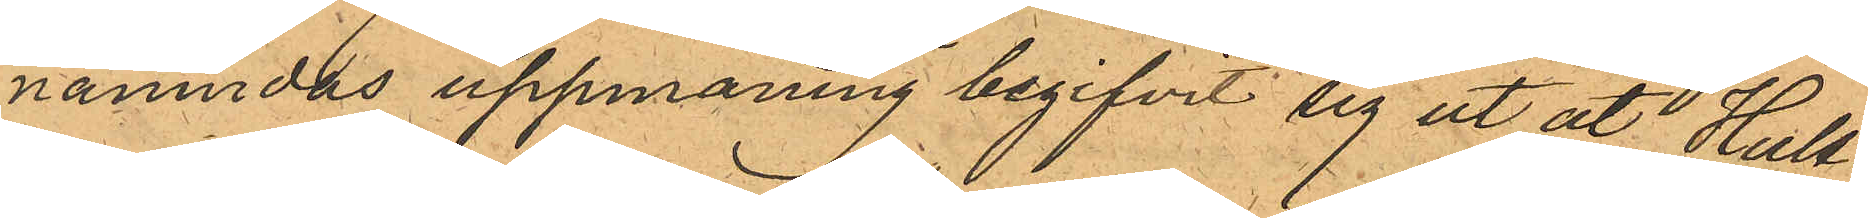nämndas uppmaning begifvit sig ut åt Hult¬
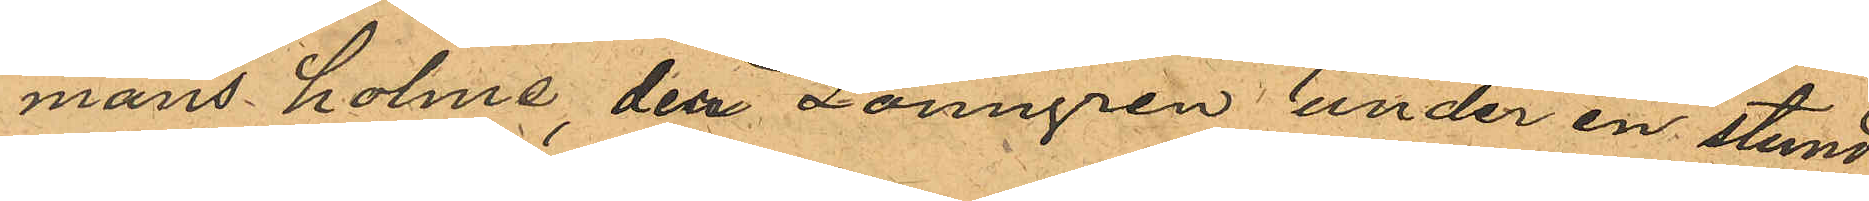mans holme den Lönngren under en stund
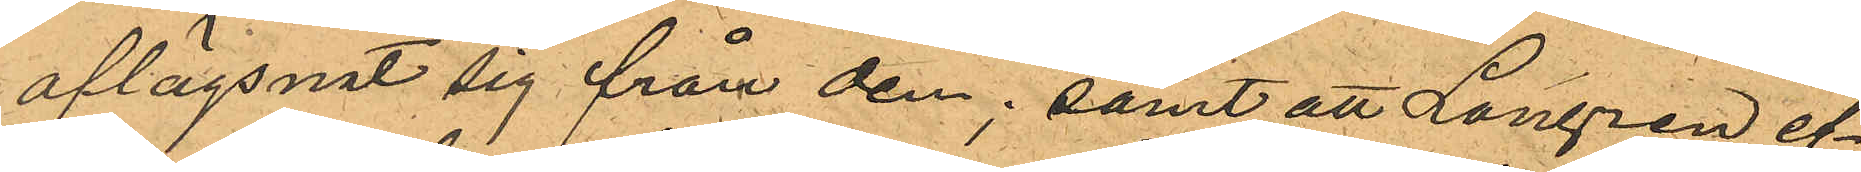aflägsnat sig från dem; samt att Longren ef¬
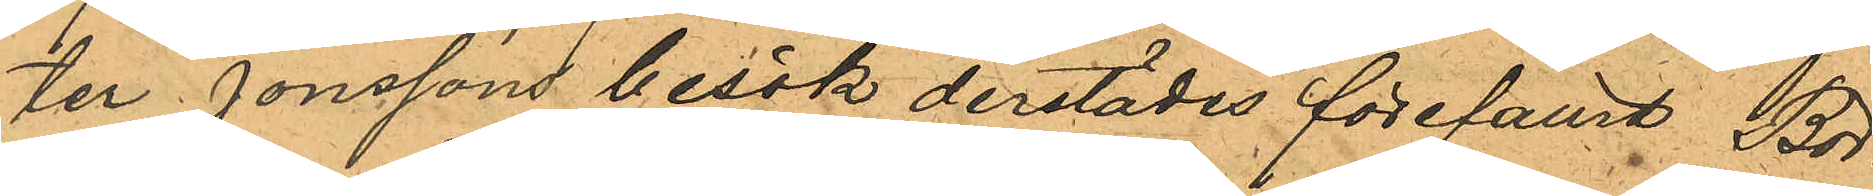ter Jonssons besök derstädes förefallit Bör¬
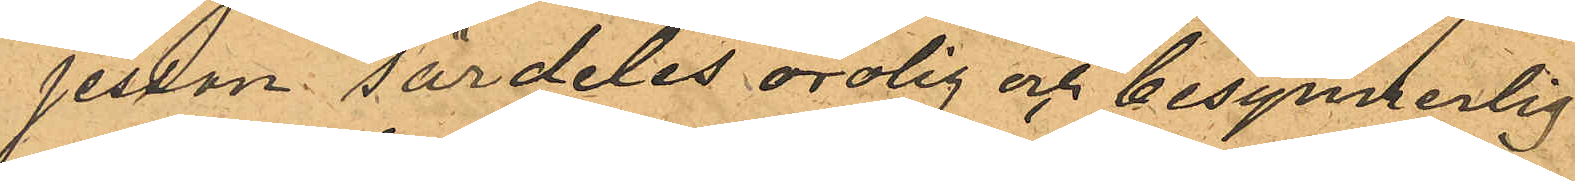jesson särdeles orolig och besynnerlig.
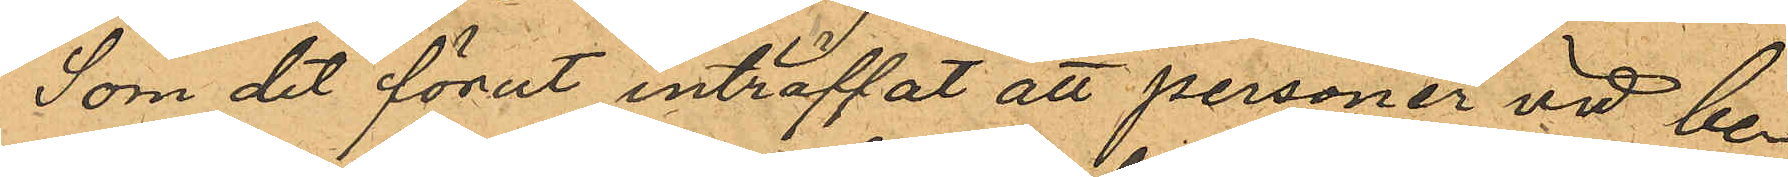Som det förut inträffat att personer vid be¬
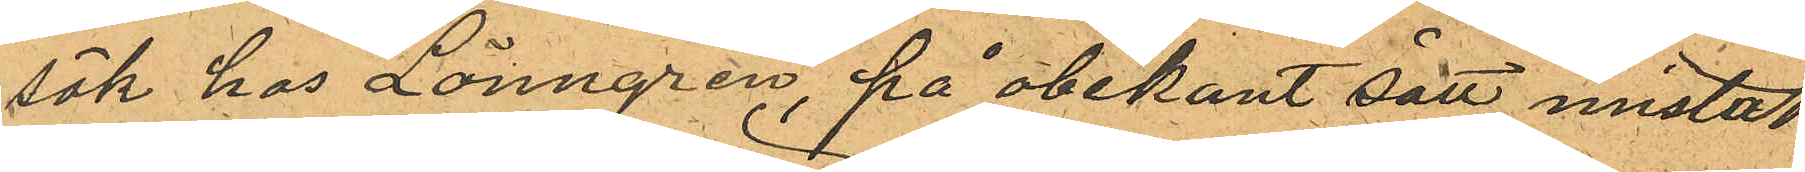sök hos Lönngren, på obekant sätt mistat
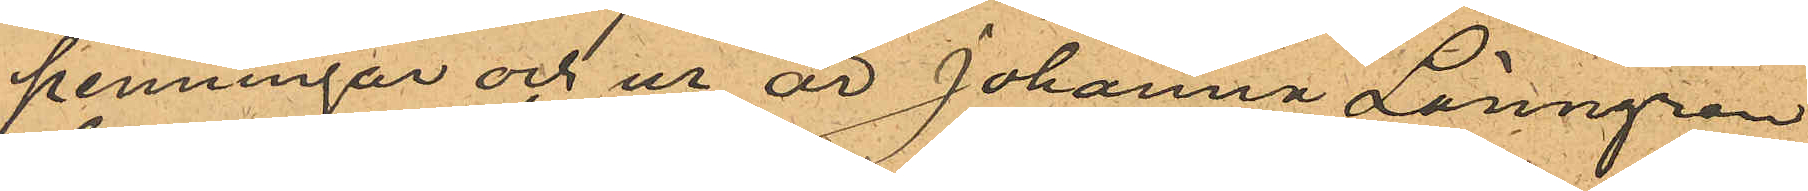penningar och ur är Johanna Lönngren
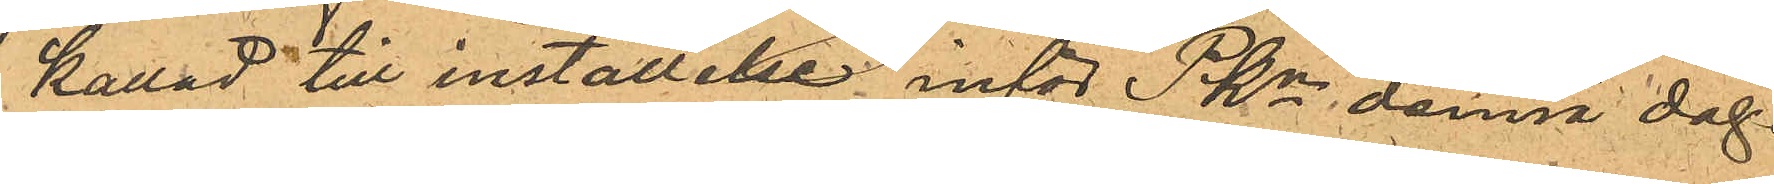kallad till inställelse inför PKn denna dag.
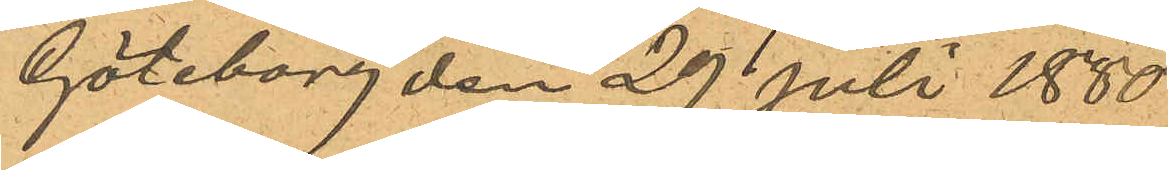Göteborg den 29 Juli 1880.
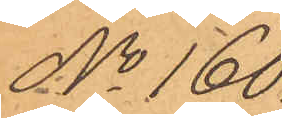No 160.
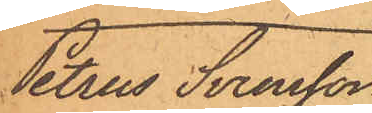Petrus Svensson
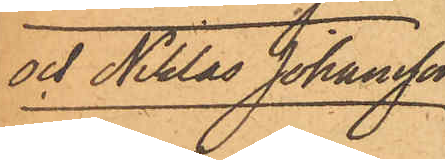och Niklas Johansson
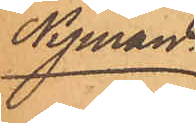Nyman.
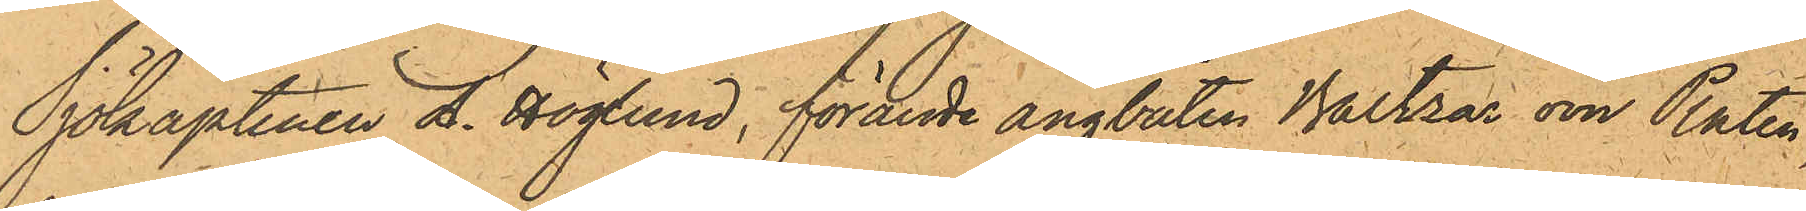Sjökaptenen L. Höglund, förande ångbåten Baltzar von Platen,
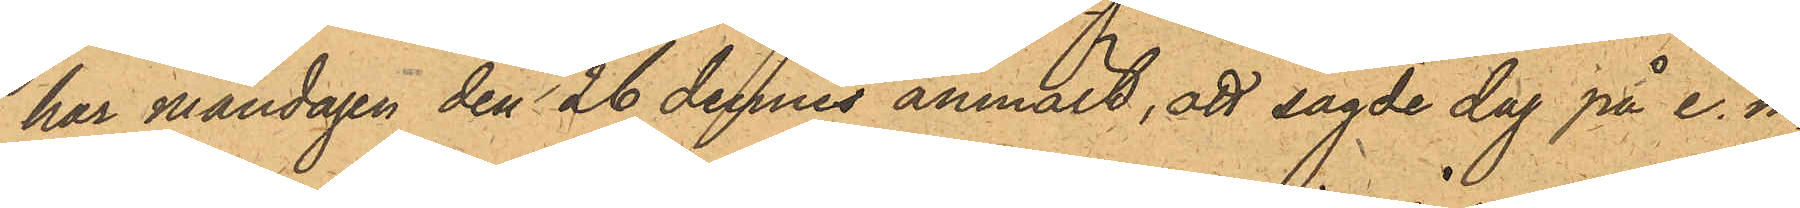har måndagen den 26 dennes anmält, att sagde dag på e. m.
